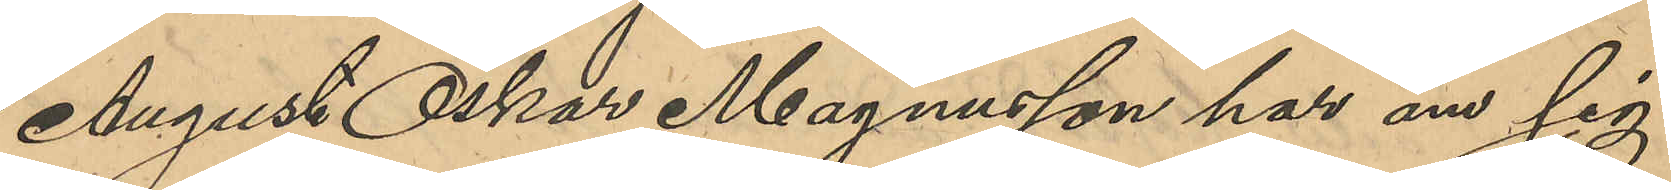August Oskar Magnusson har om sig
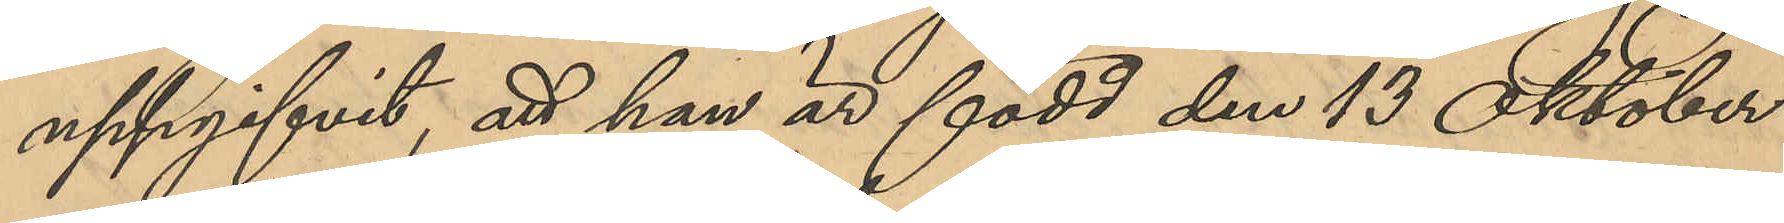uppgifvit, att han är född den 13 Oktober
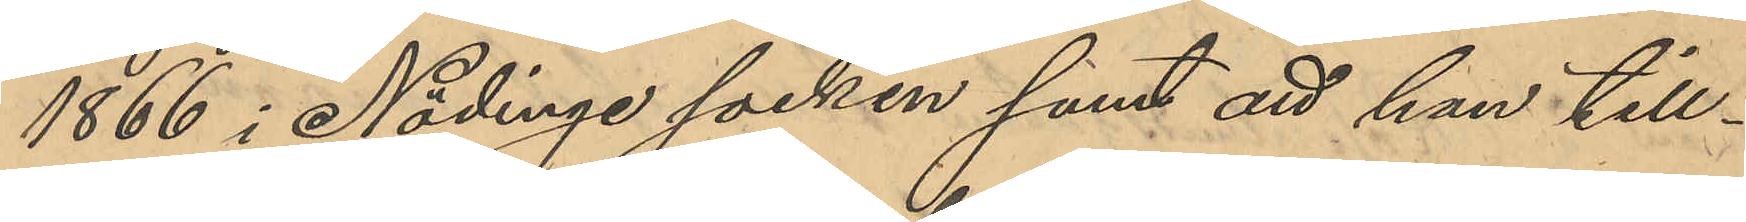1866 i Nödinge socken samt att han till¬
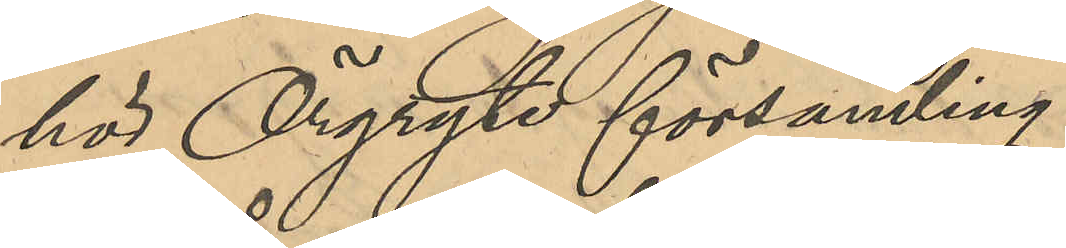hör Örgryte församling.
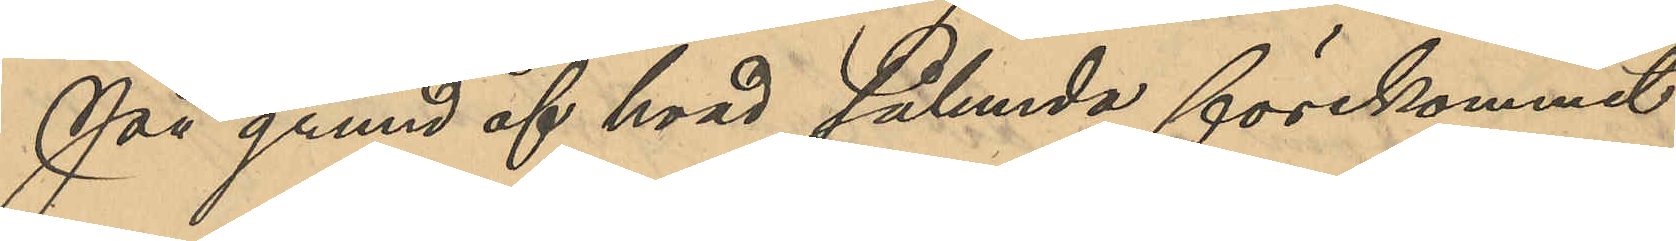På grund af hvad sålunda förekommit
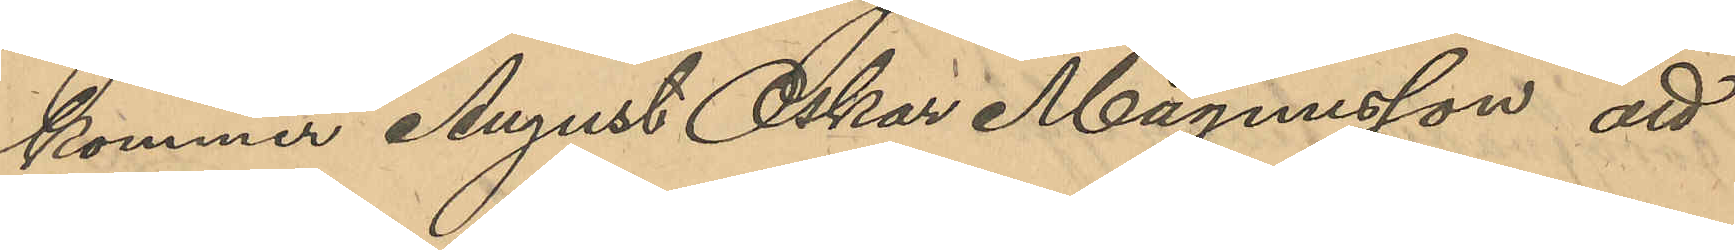kommer August Oskar Magnusson att
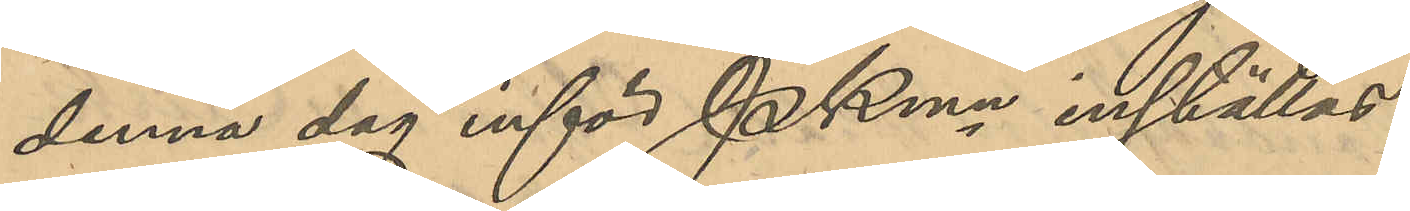denna dag inför PKmn inställas.
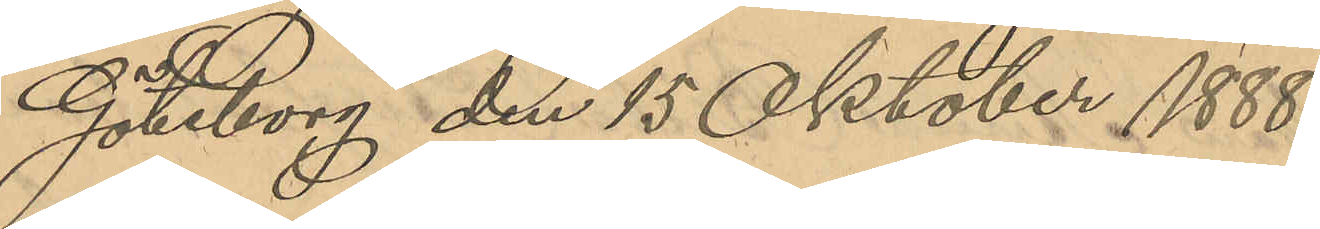Göteborg den 15 Oktober 1888.
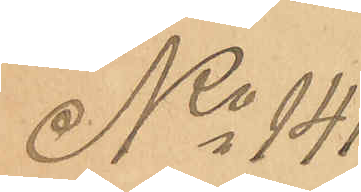No 141
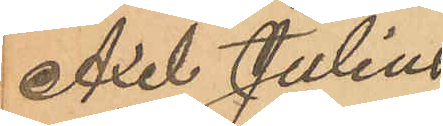Axel Julius
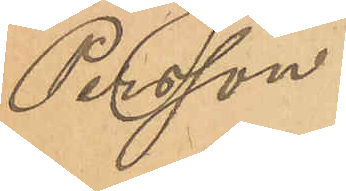Persson.
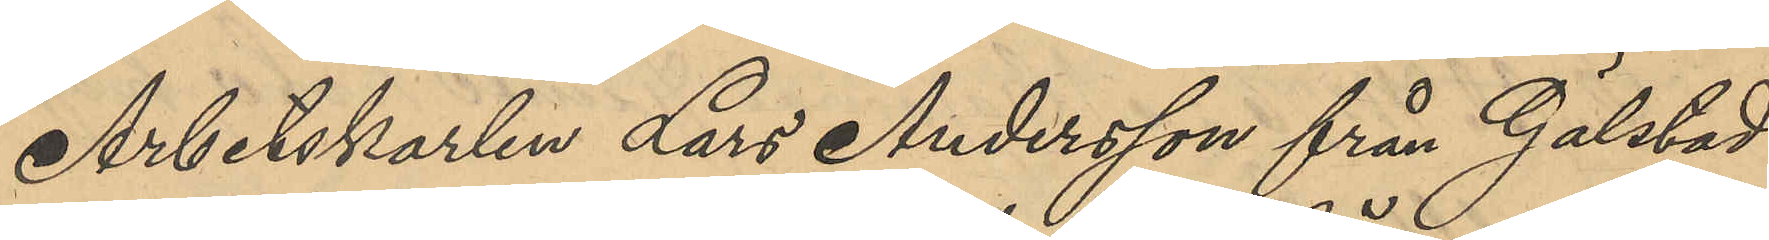Arbetskarlen Lars Andersson från Gälstad
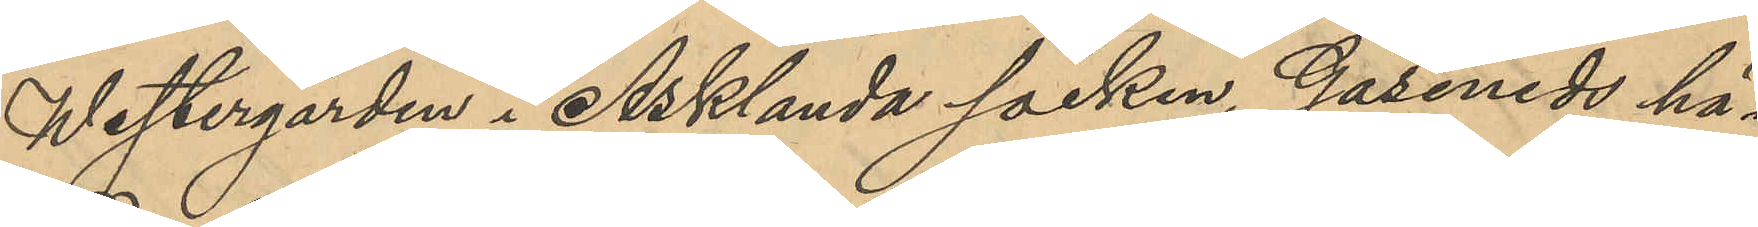Westergården i Asklunda socken, Gäseneds hä¬
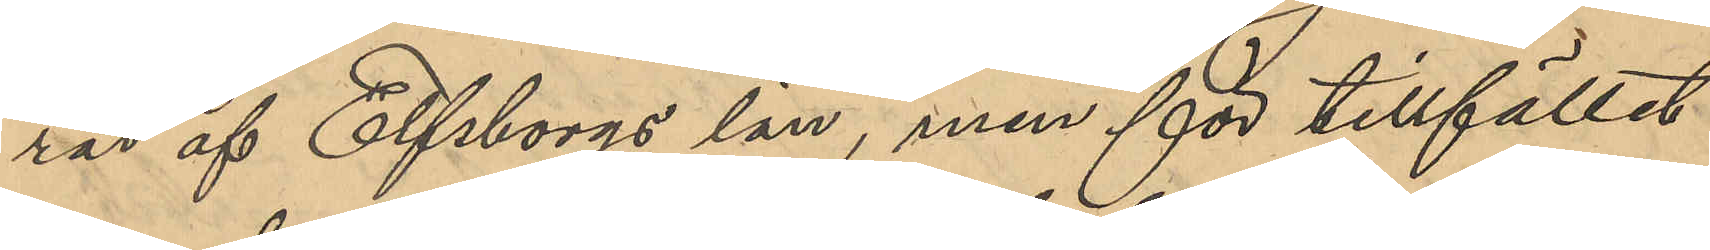rad af Elfsborgs län, men för tillfället
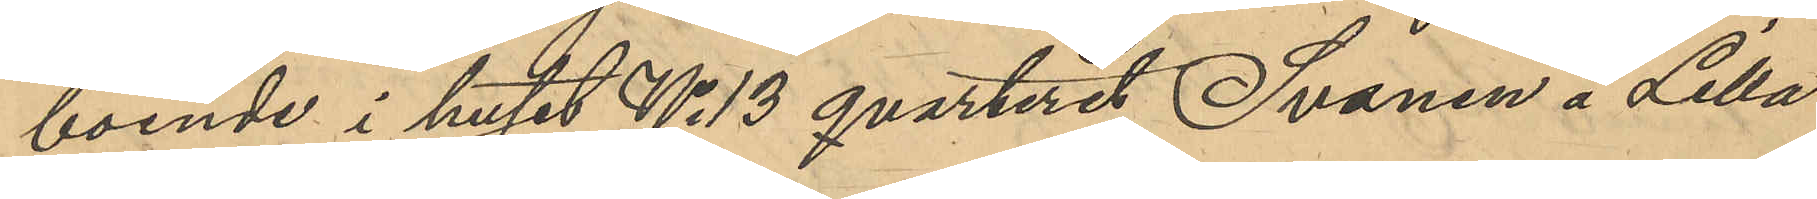boende i huset No 13 qvarteret Svanen å Lilla
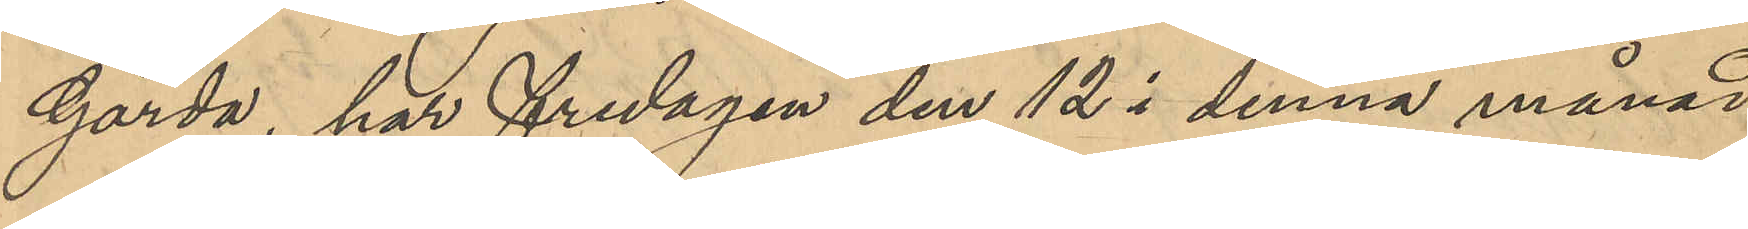Gårda, har fredagen den 12 i denna månad
